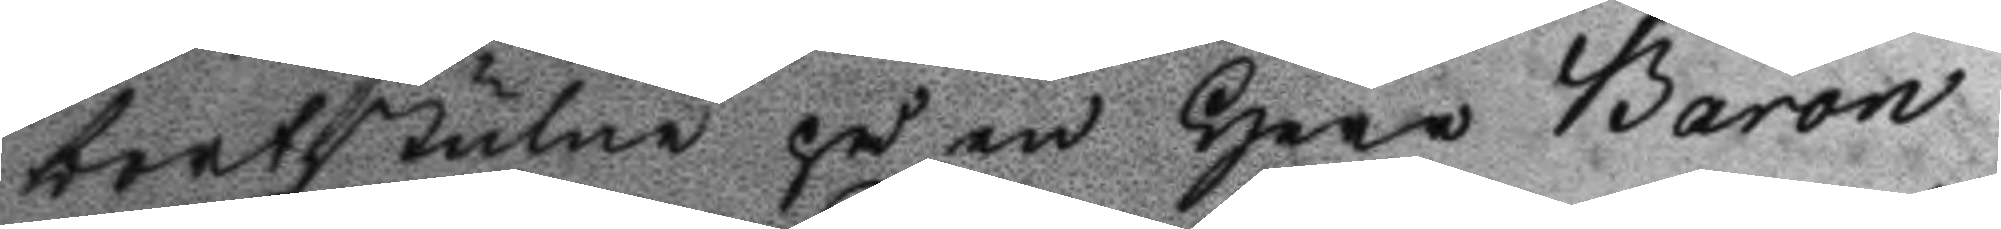bortstulne på en Herr Baron
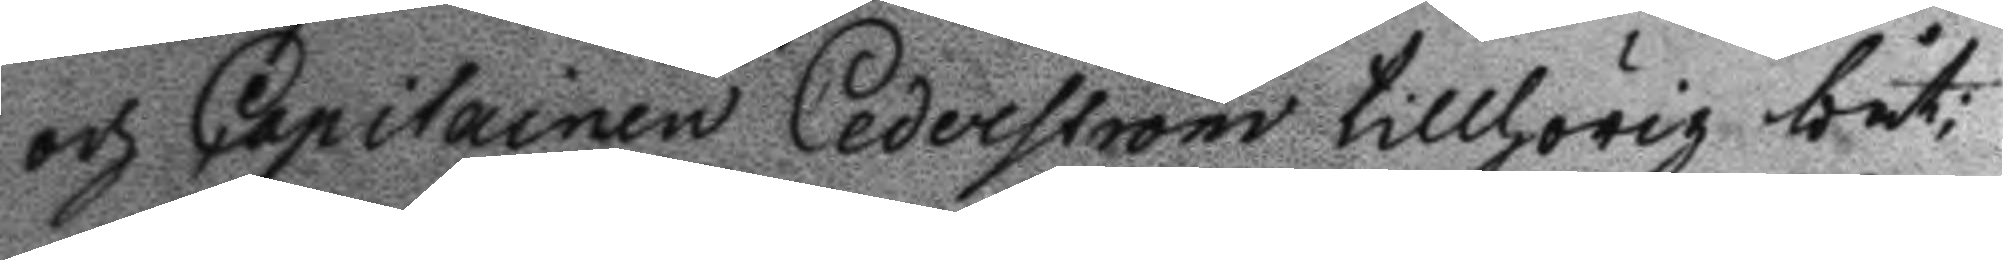och Capitainen Cederström tillhörig båt;
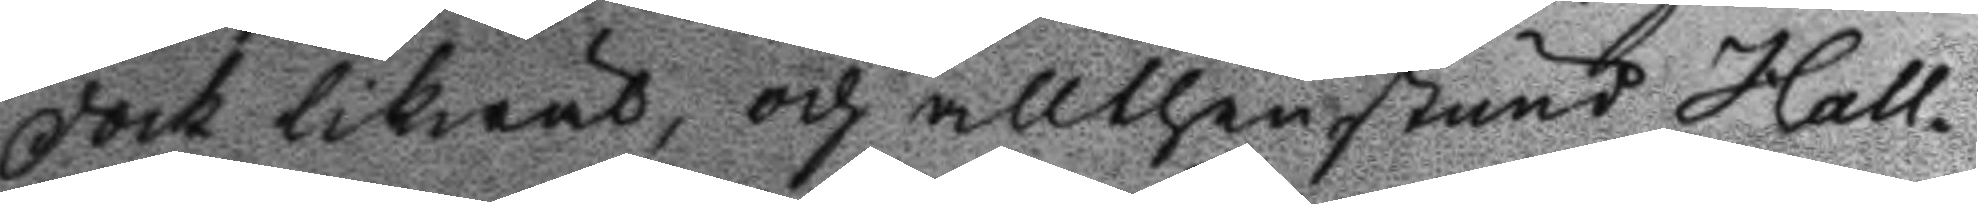dock likwäl, och allthenstund Hall¬
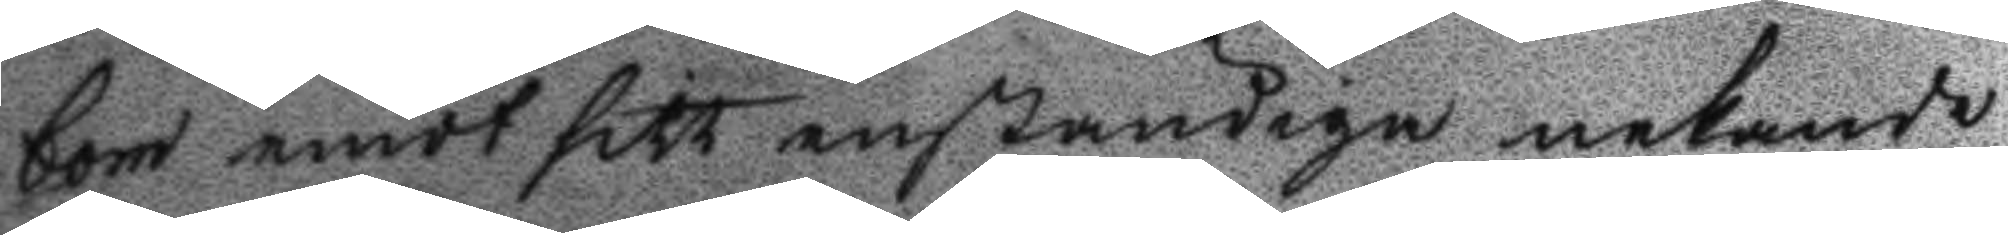bom emot sitt enständiga nekande
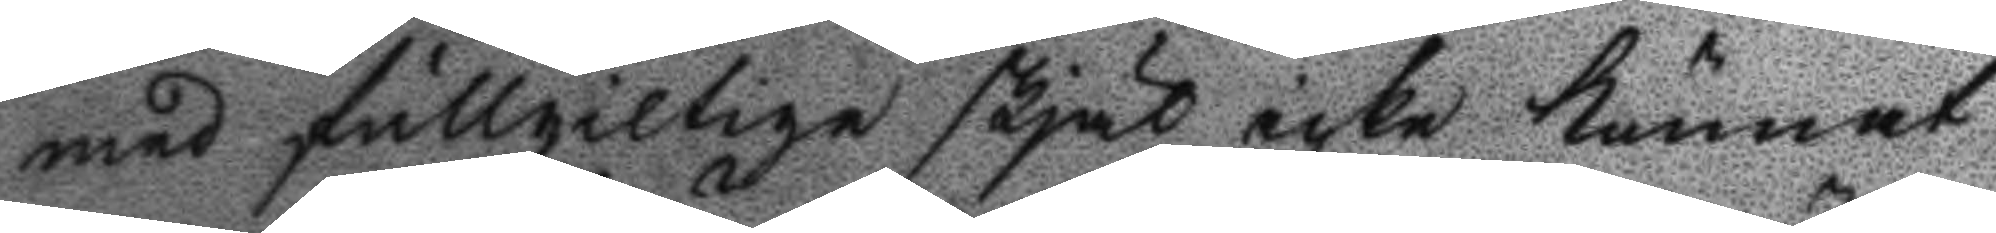med fullgilige skjäl icke kunnat
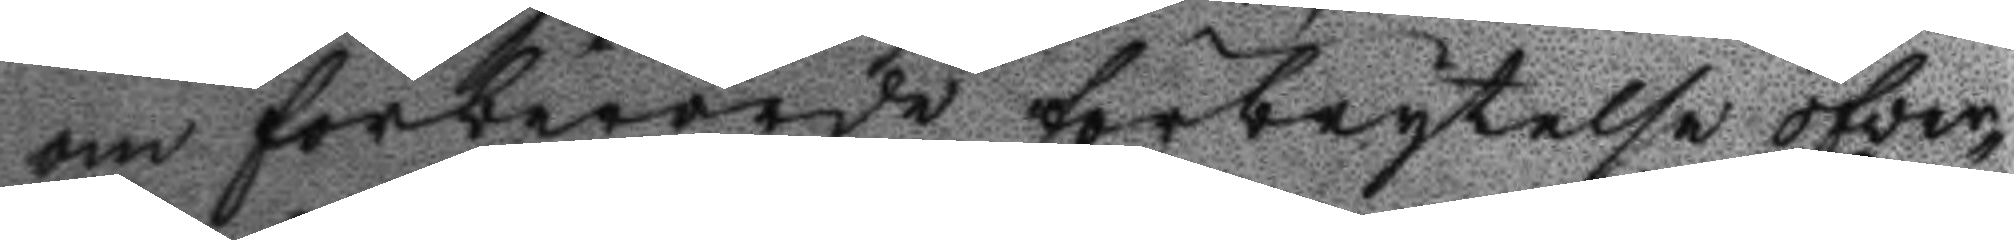om förberörde förbrytelse öfver¬
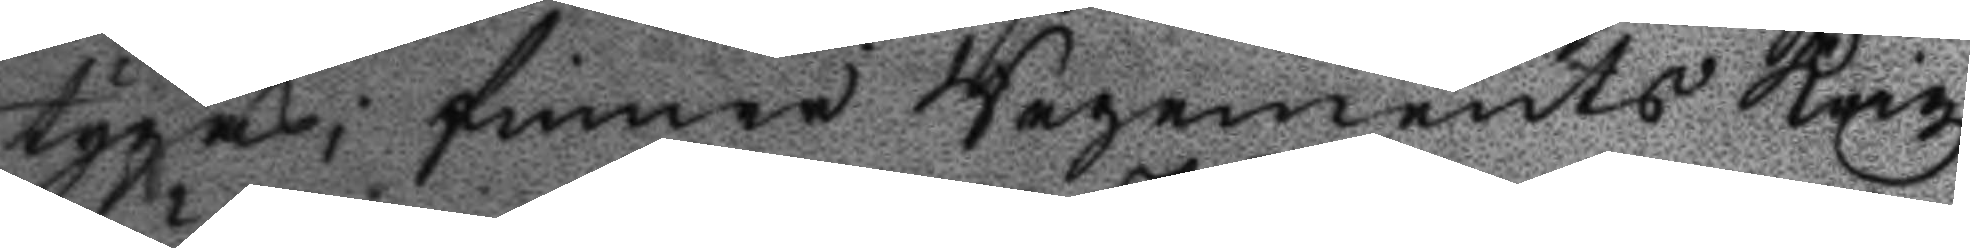tygas; finner Regemnets krigz
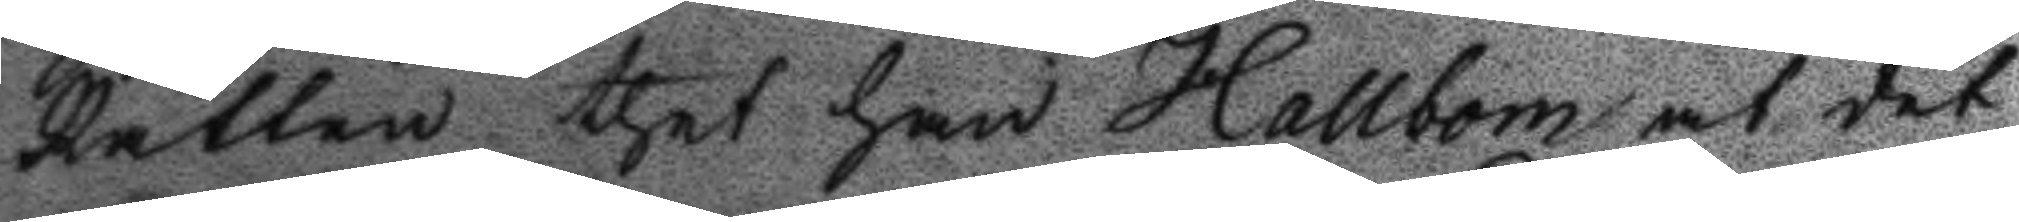Rätten thet han Hallbom at det
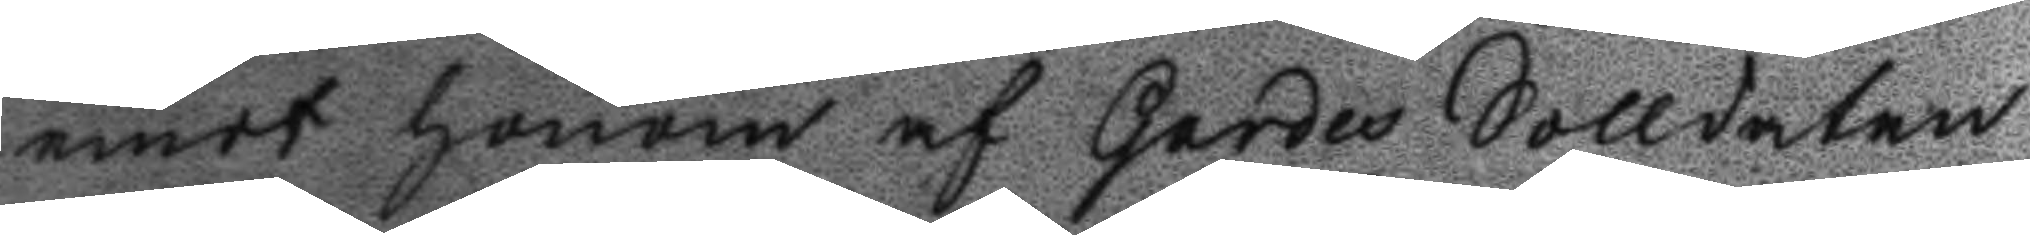emot honom af gardes Solldaten
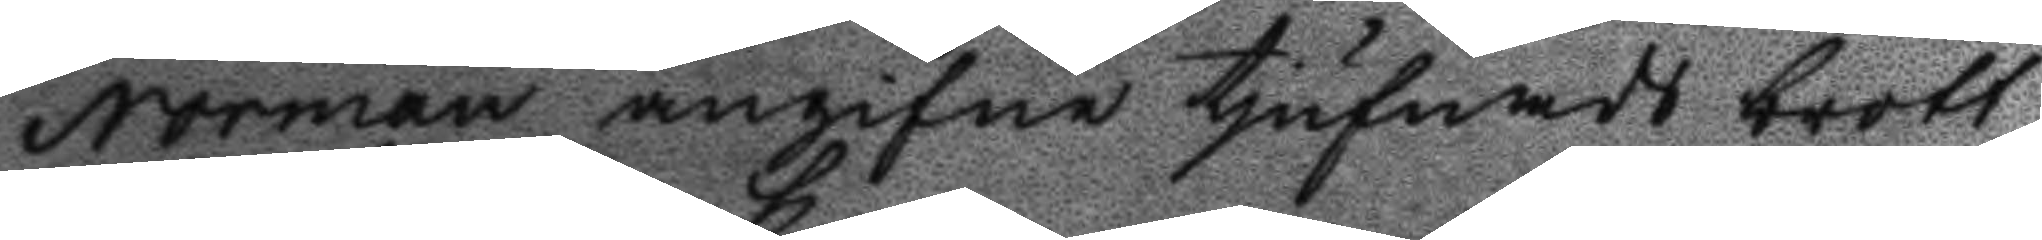Norman angifne tjufnads brott
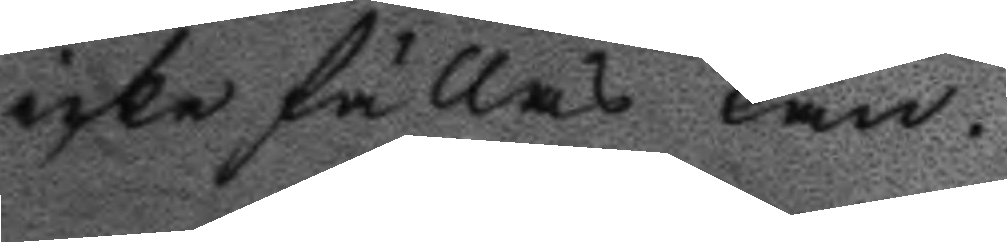icke fällas kan.
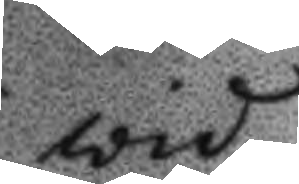vid
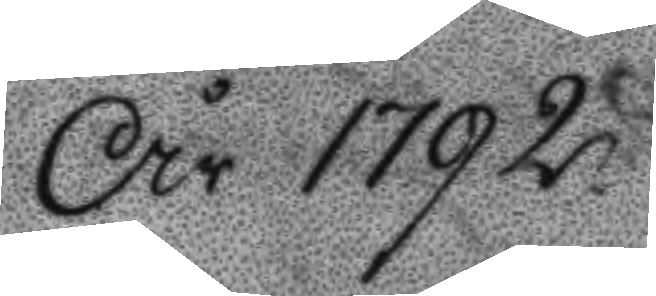År 1972
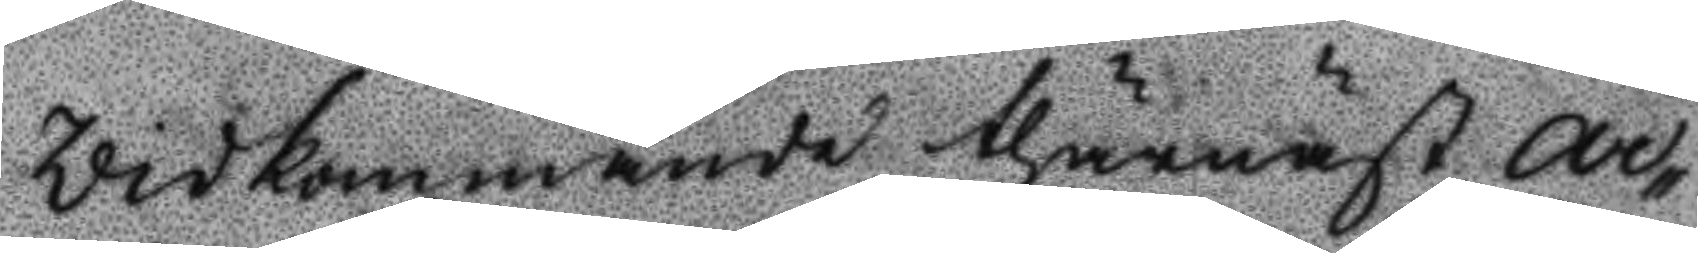Vidkommande thärnäst Ar¬
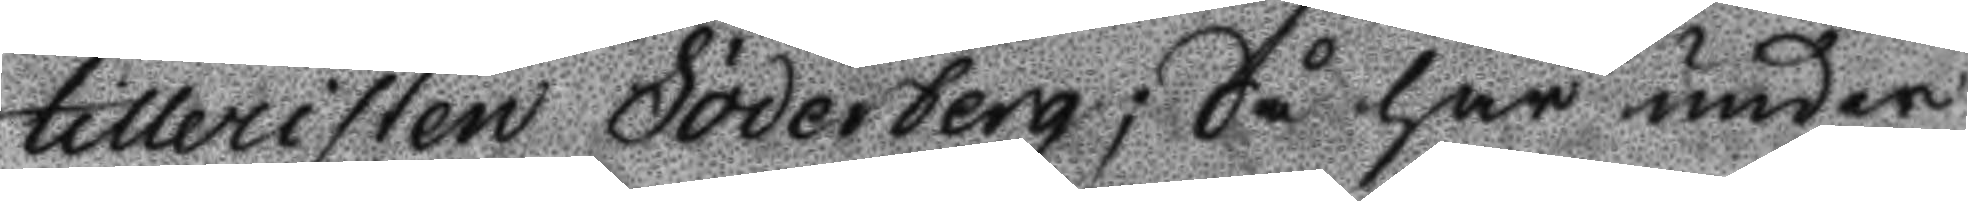tilleristen Söderberg; Så har under
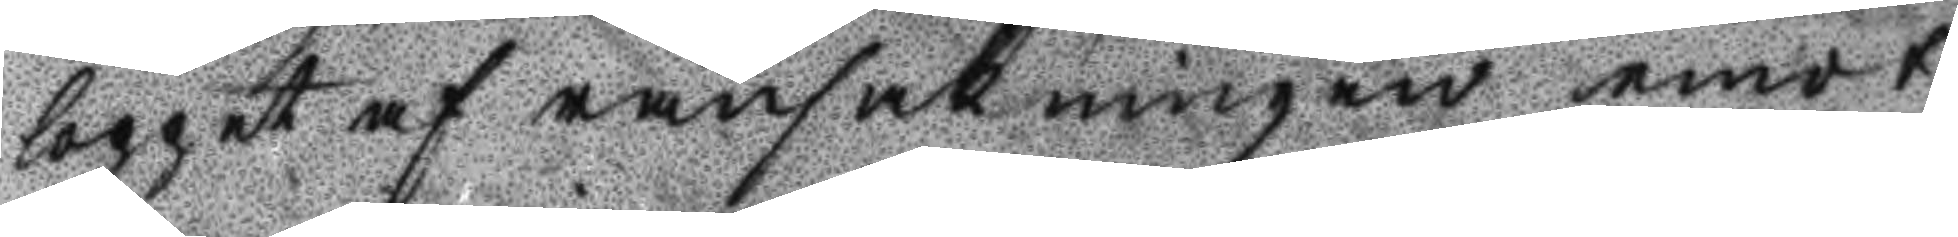loppet af ransakningen emot
